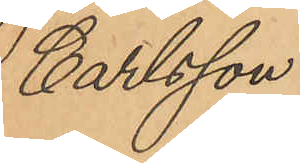Carlsson.
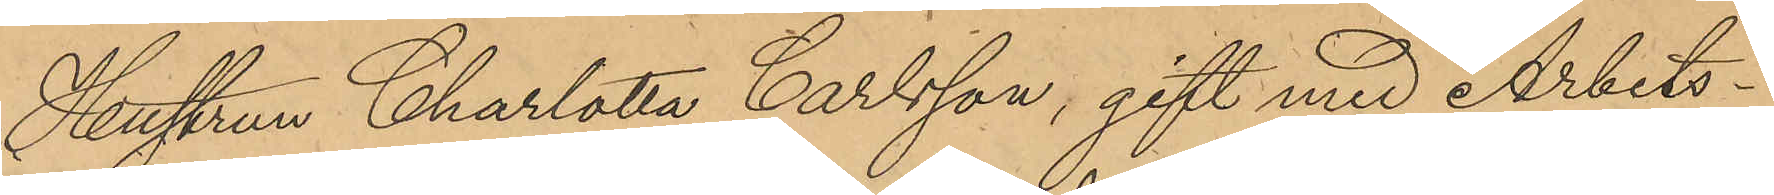Hustrun Charlotta Carlsson, gift med Arbets¬
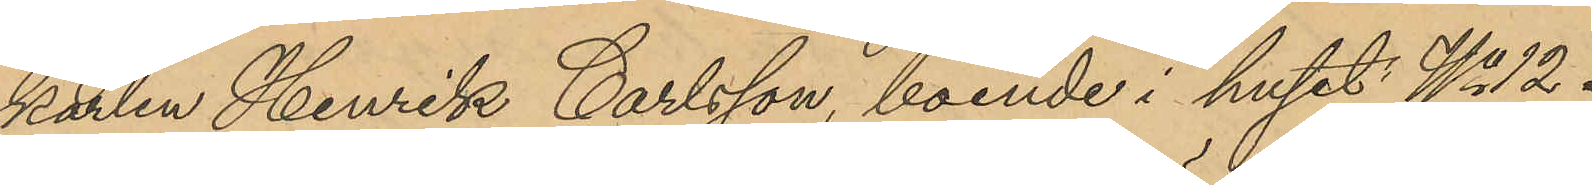karlen Henrik Carlsson, boende i huset No 12.
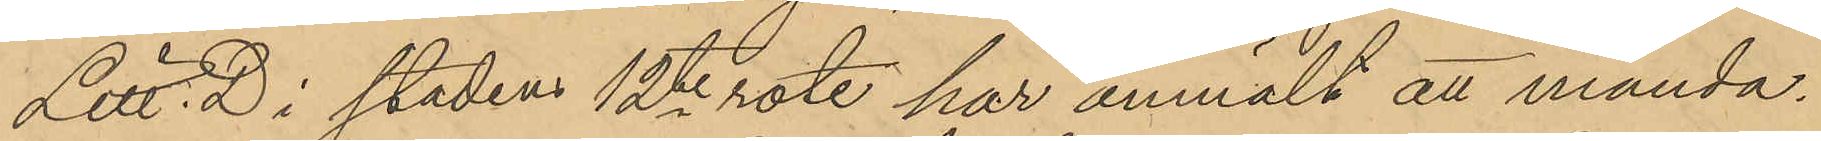Litt. D i stadens 12te rote, har anmält att månda¬
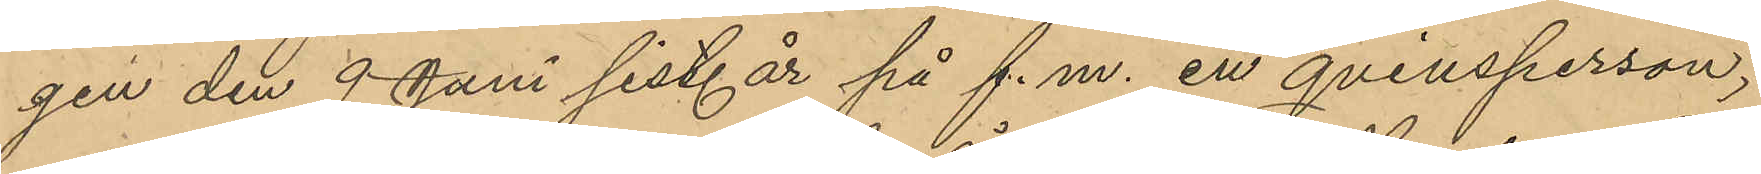gen den 9 Juni sist. år på f.m. en qvinsperson,
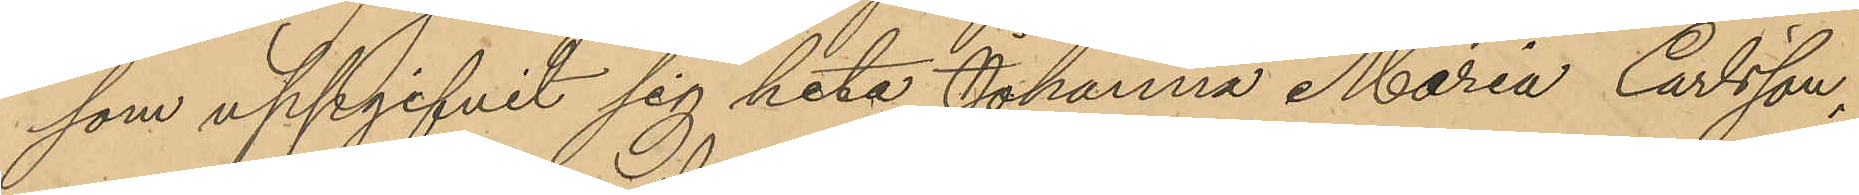som uppgifvit sig heta Johanna Maria Carlsson,
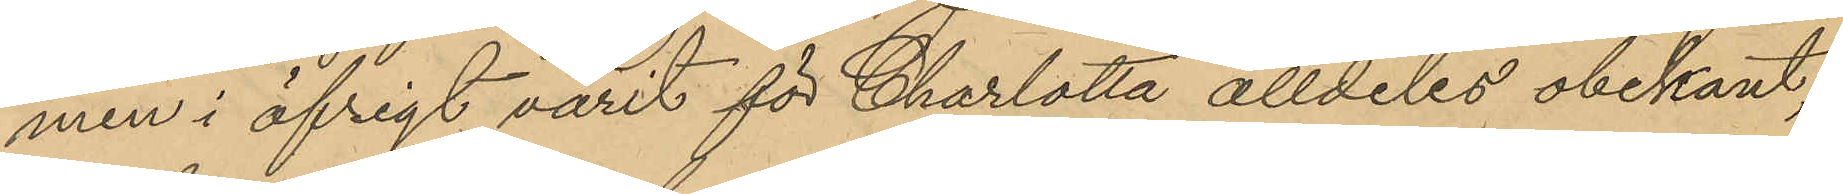men i öfrigt varit för Charlotta alldeles obekant,
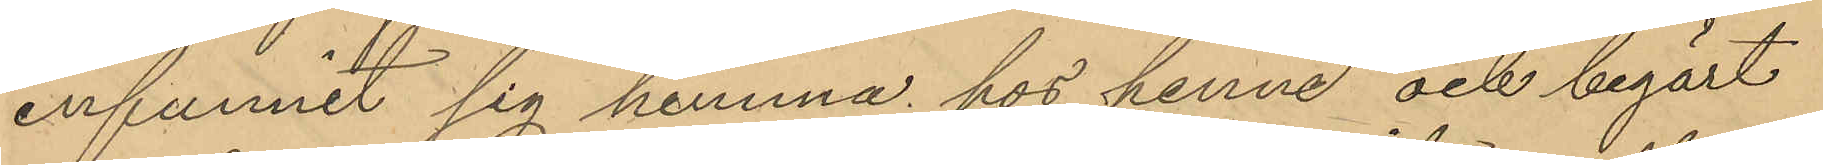infunnit sig hemma hos henne och begärt
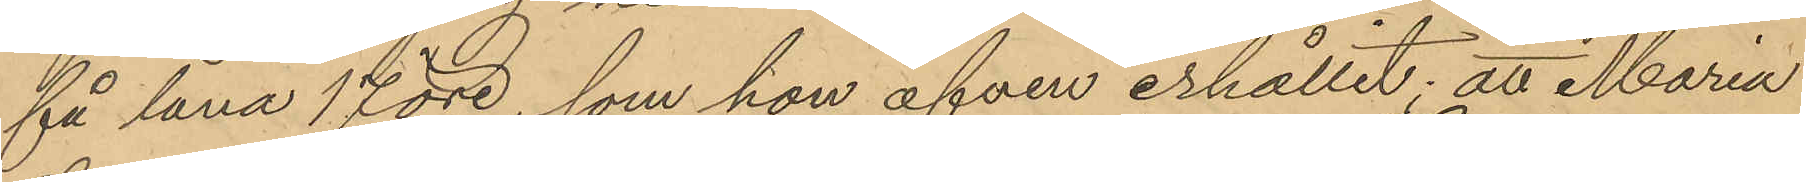få låna 17 öre, som hon äfven erhållit; att Maria
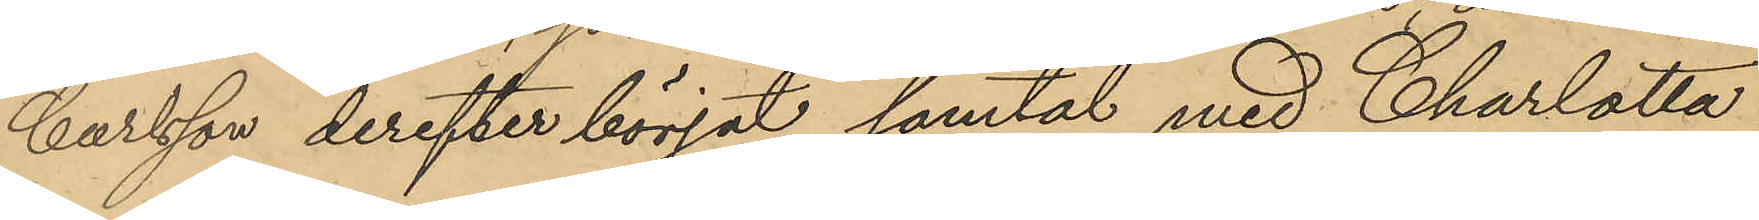Carlsson derefter börjat samtal med Charlotta
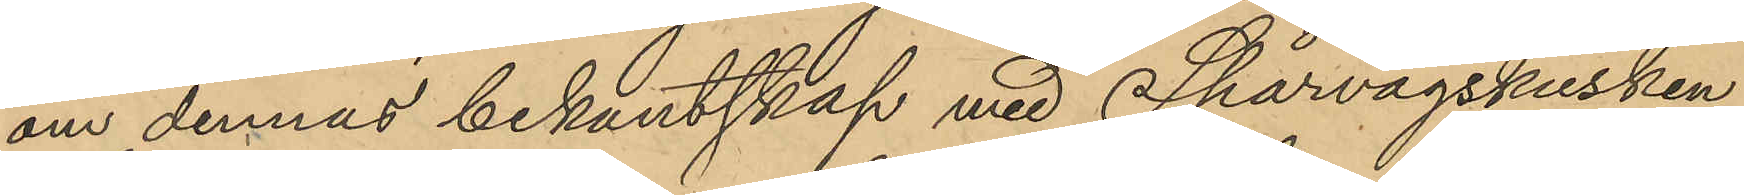om dennes bekantskap med Spårvägskusken
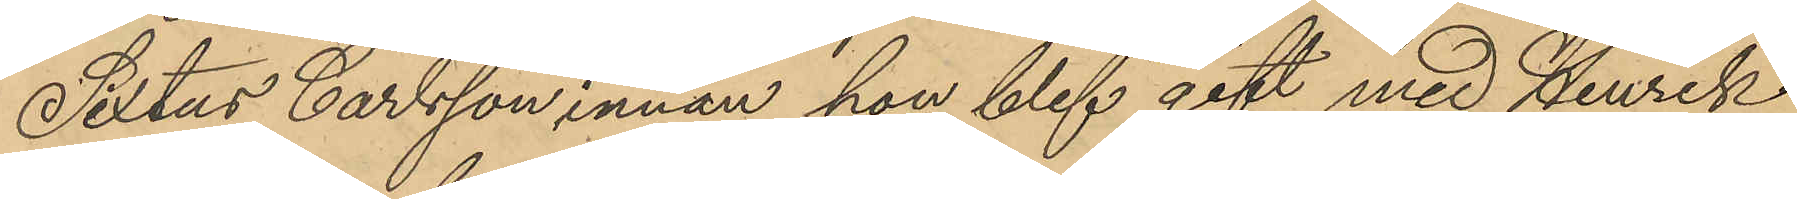Sixtus Carlsson, innan hon blef gift med Henrik
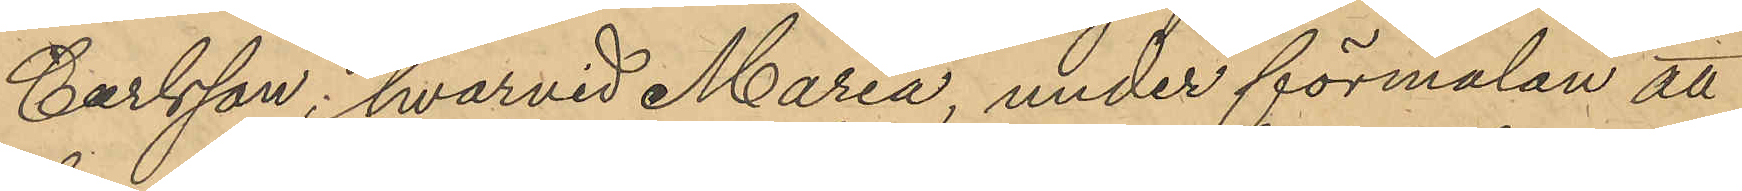Carlsson; hvarvid Maria, under förmälan att
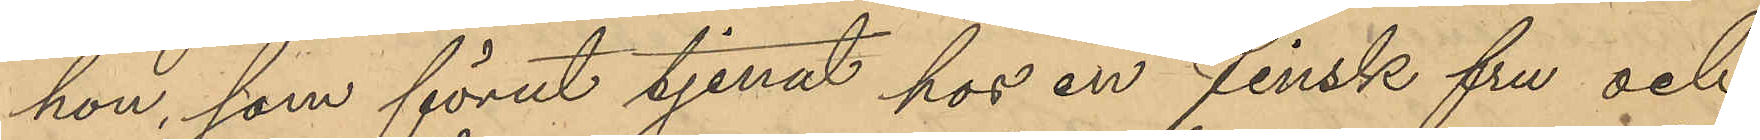hon, som förut tjenat hos en finsk fru och
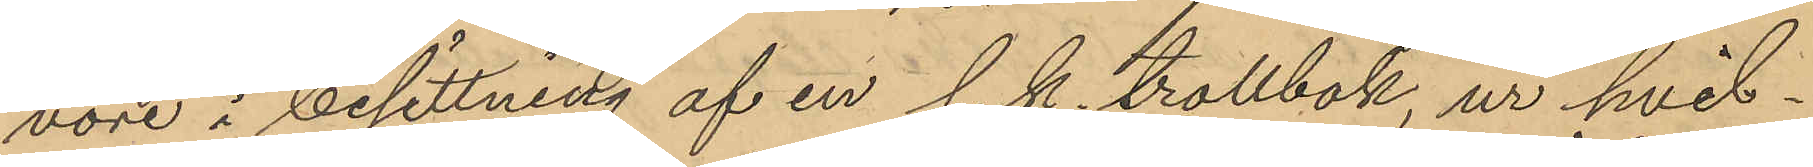vore i besittning af en s. k. trollbok, ur hvil¬
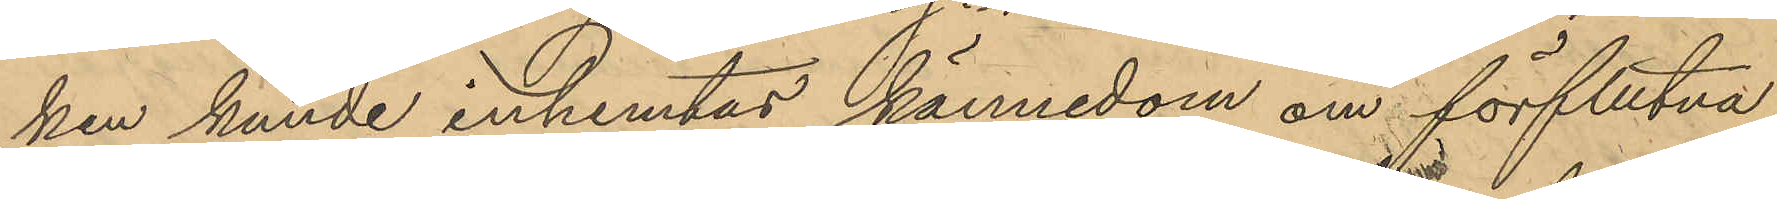ken kunde inhemtas kännedom om förflutna
